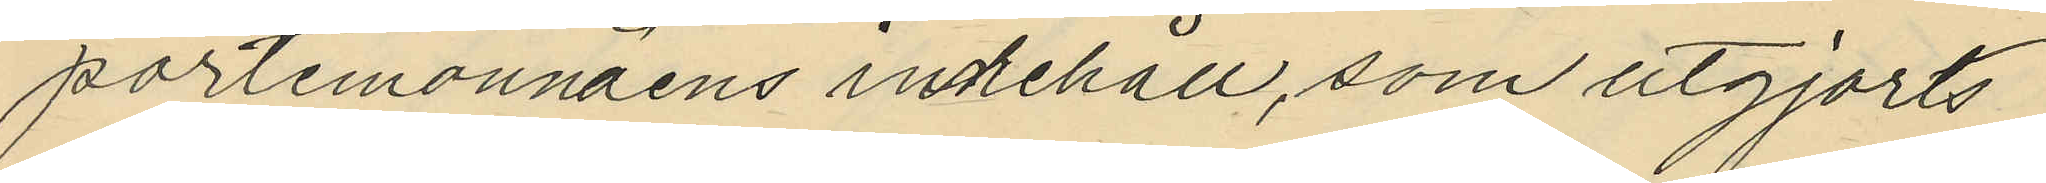portemonnäens inkehåll, som utgjorts
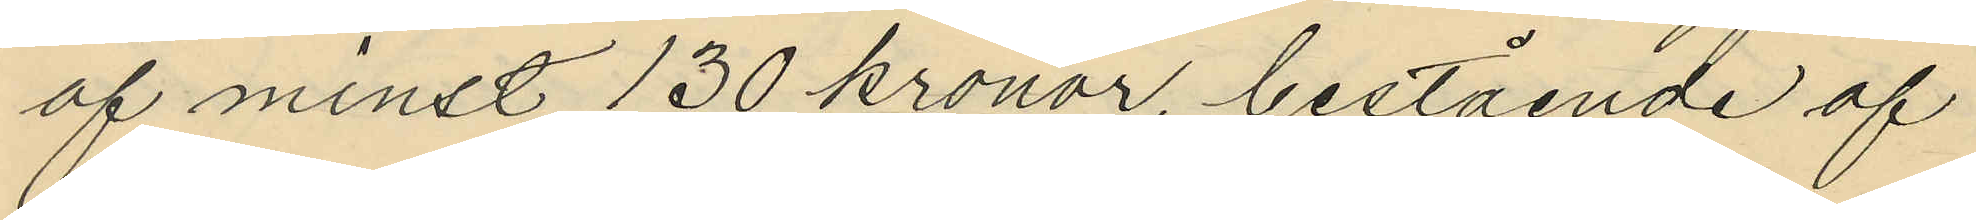af minst 130 kronor, bestående af
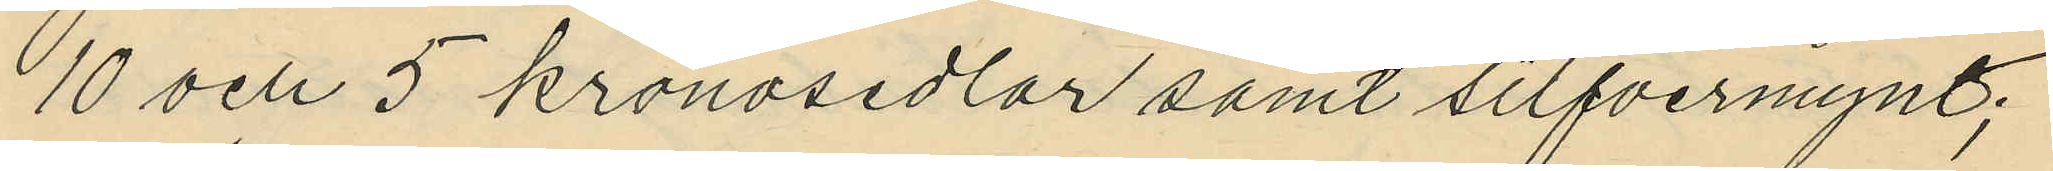10 och 5 kronosedlar samt silfvermynt;
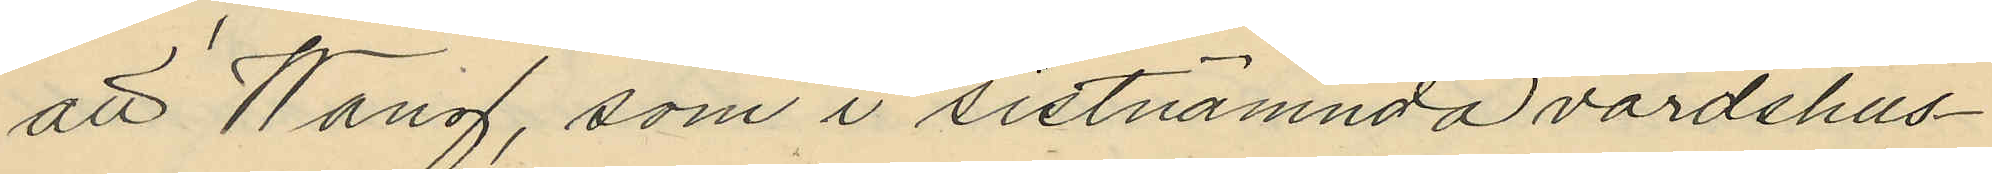att Wang, som i sistnämnda värdshus¬
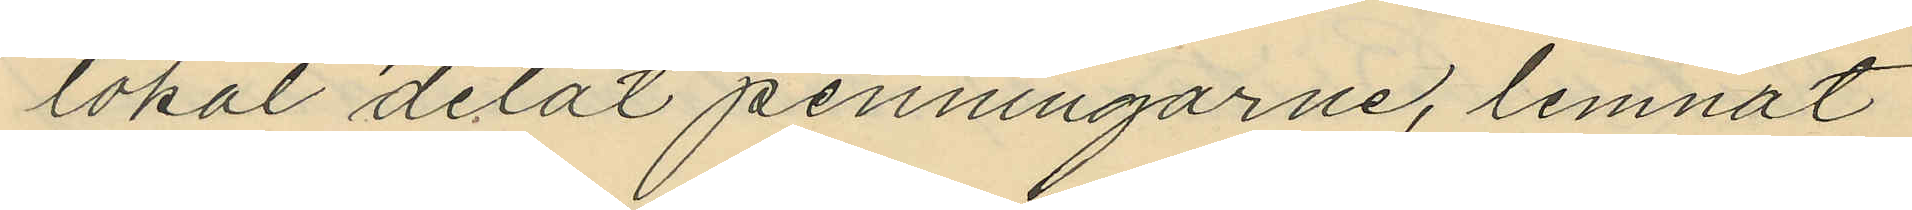lokal delat penningarne, lemnat
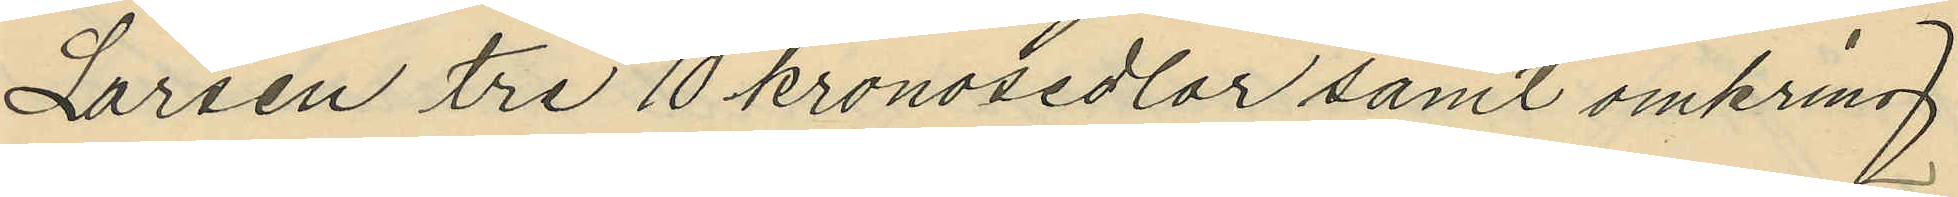Larsen tre 10 kronosedlar samt omkring
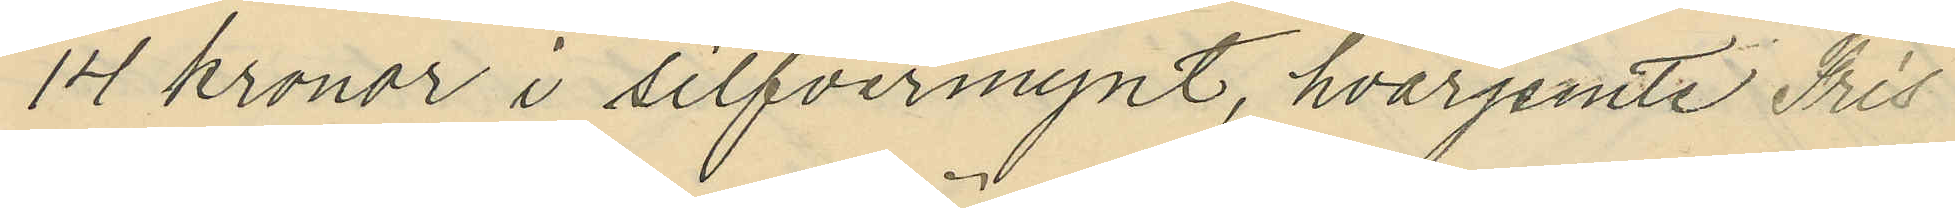14 kronor i silfvermynt, hvarjemte Fris
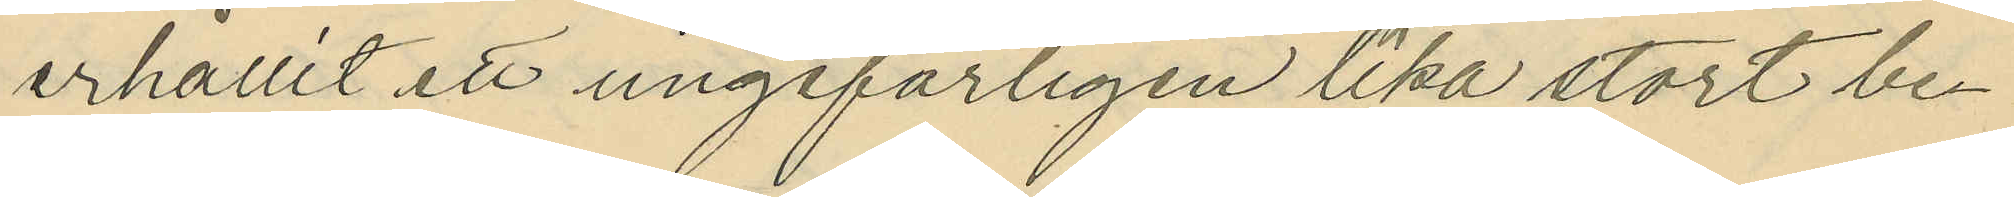erhållit ett ungefärligen lika stort be¬
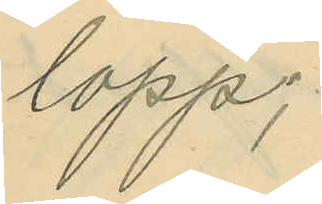lopp;
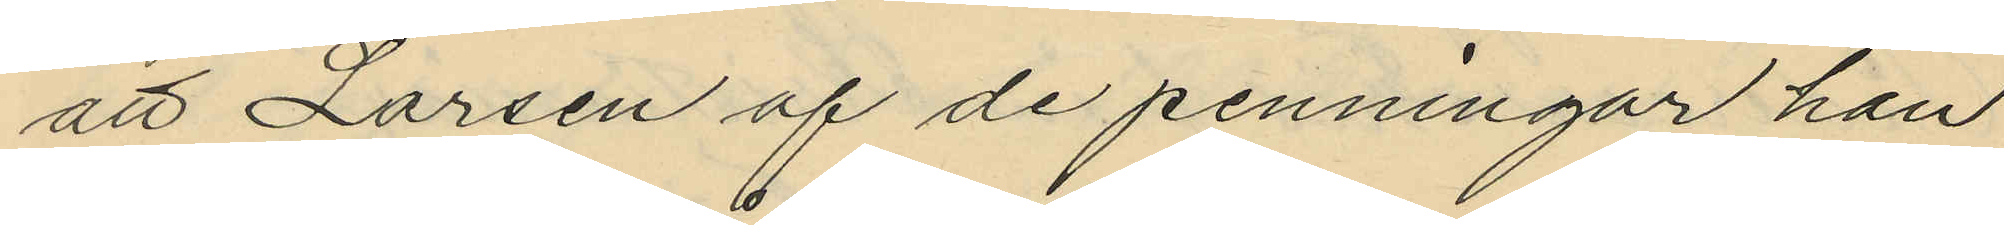att Larsen af de penningar han
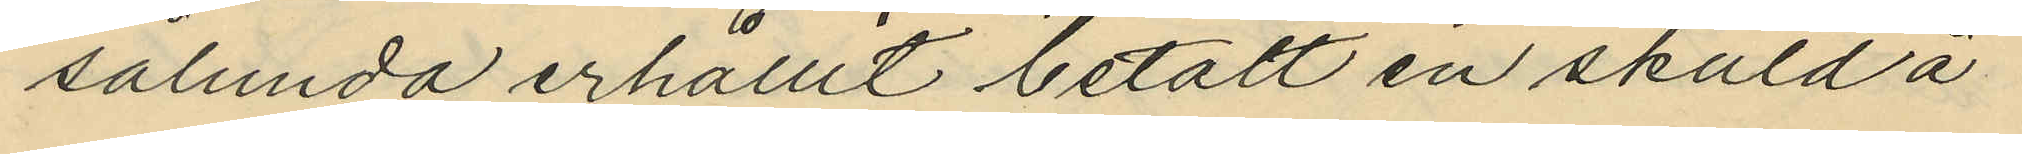sålunda erhållit betalt en skuld å
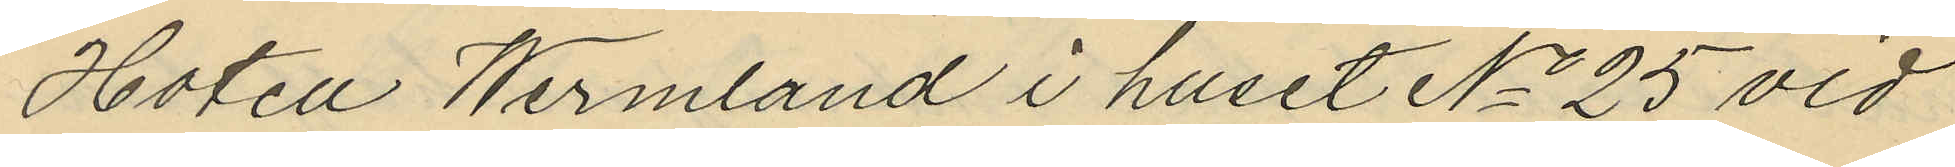Hotell Wermland i huset No 25 vid
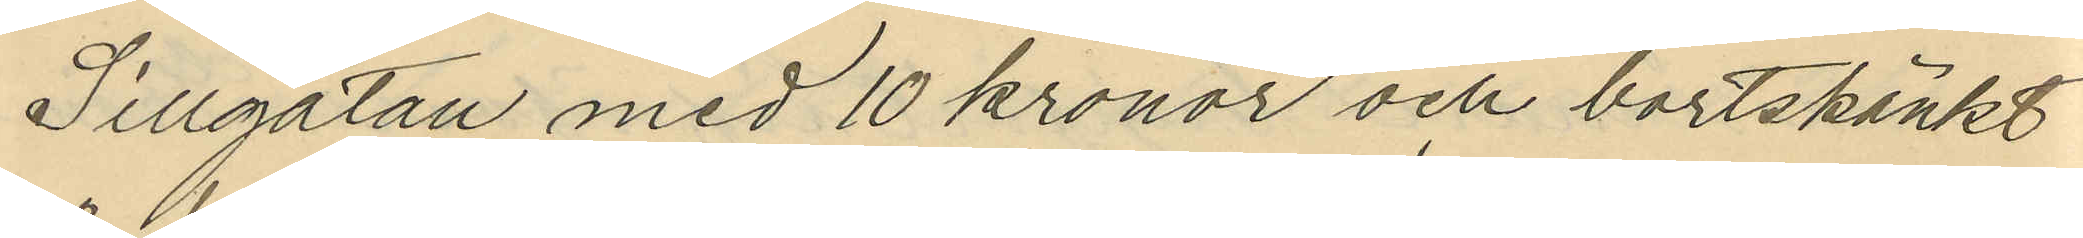Sillgatan med 10 kronor och bortskänkt
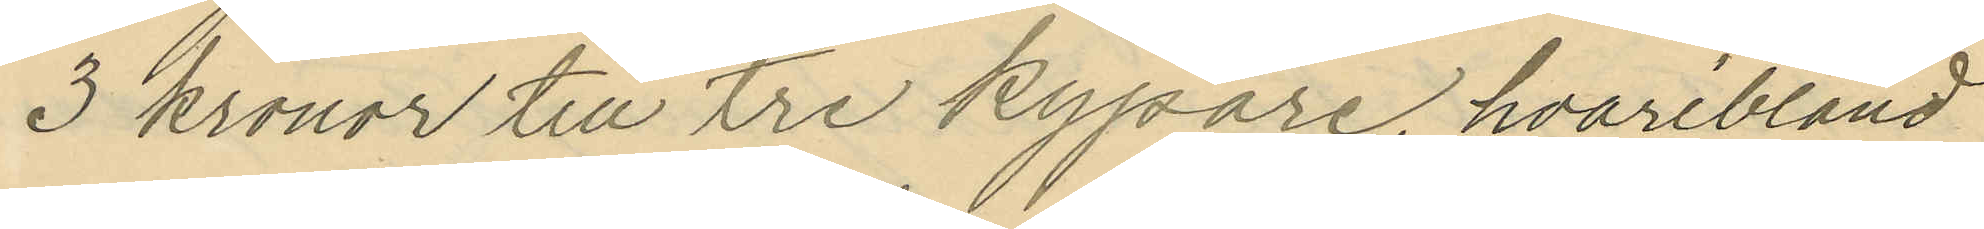3 kronor till tre kypare, hvaribland
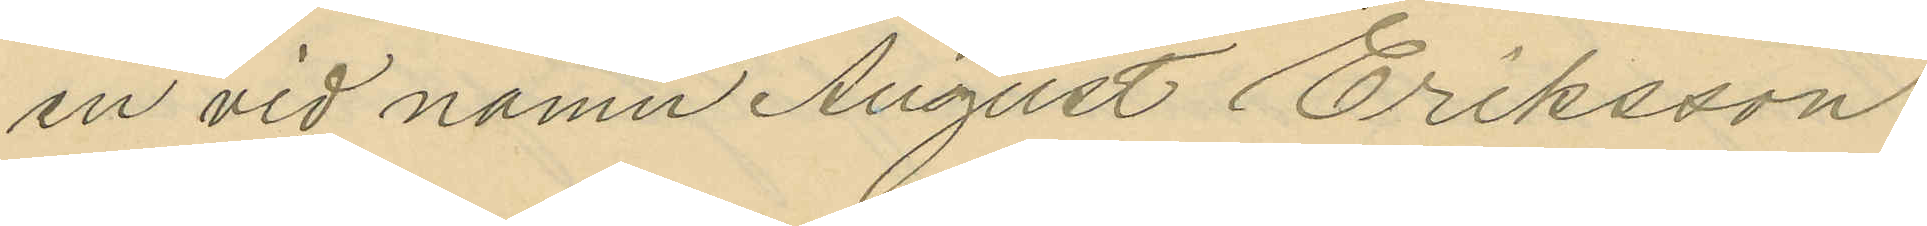en vid namn August Eriksson
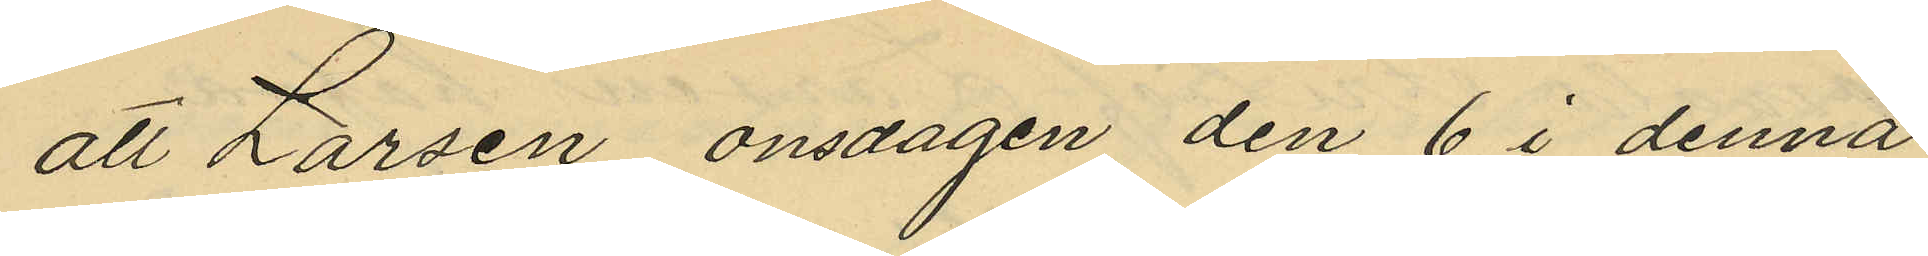att Larsen onsdagen den 6 i denna
